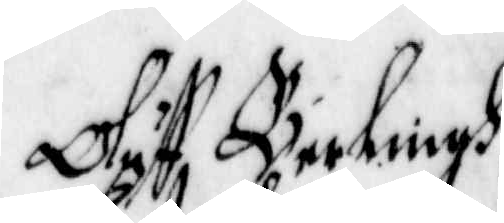Oluff Berlingh
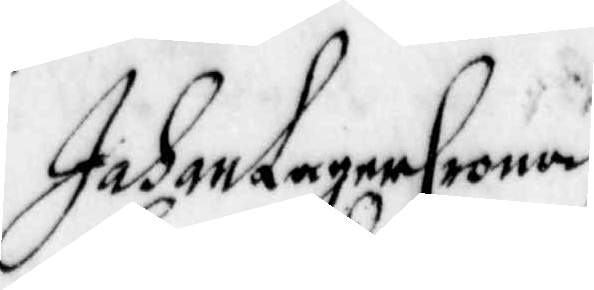Johan LagerCrona
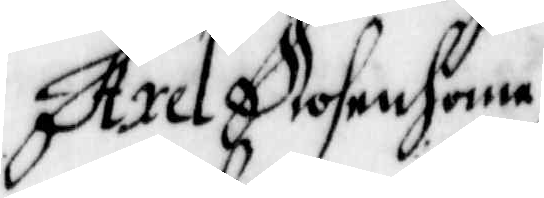Axel Rosenhane
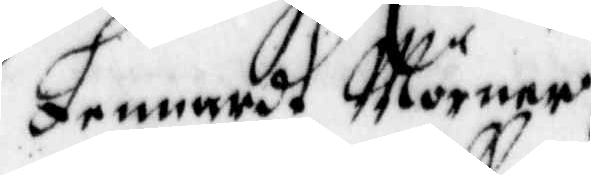Lennardt Mörner
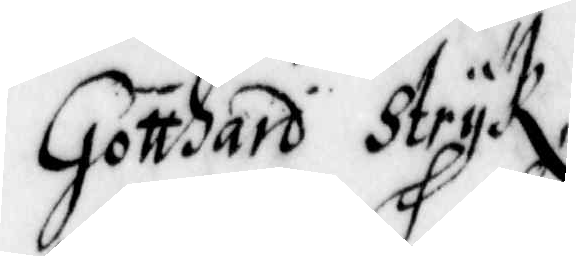Gotthard Strÿk
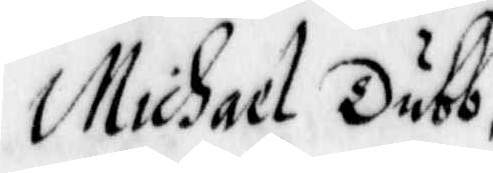Michael Dubb
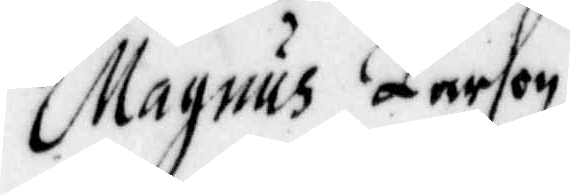Magnus Larsson
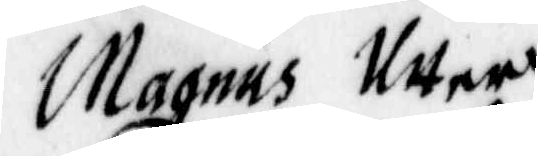Magnus Utter
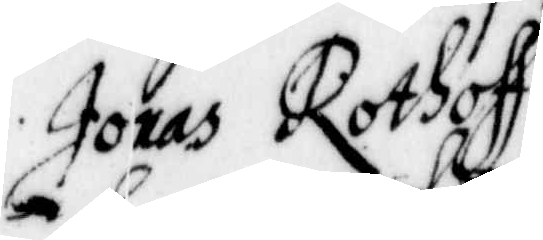Jonas Rothoff
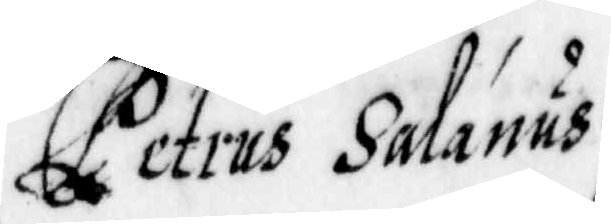Petrus Salanus
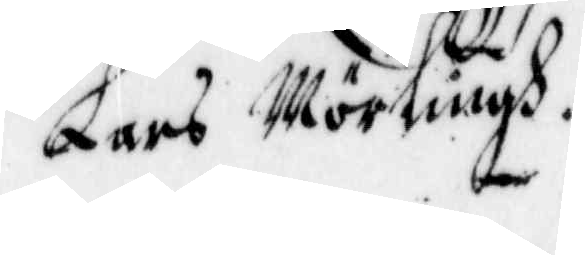Lars Mörlingh.
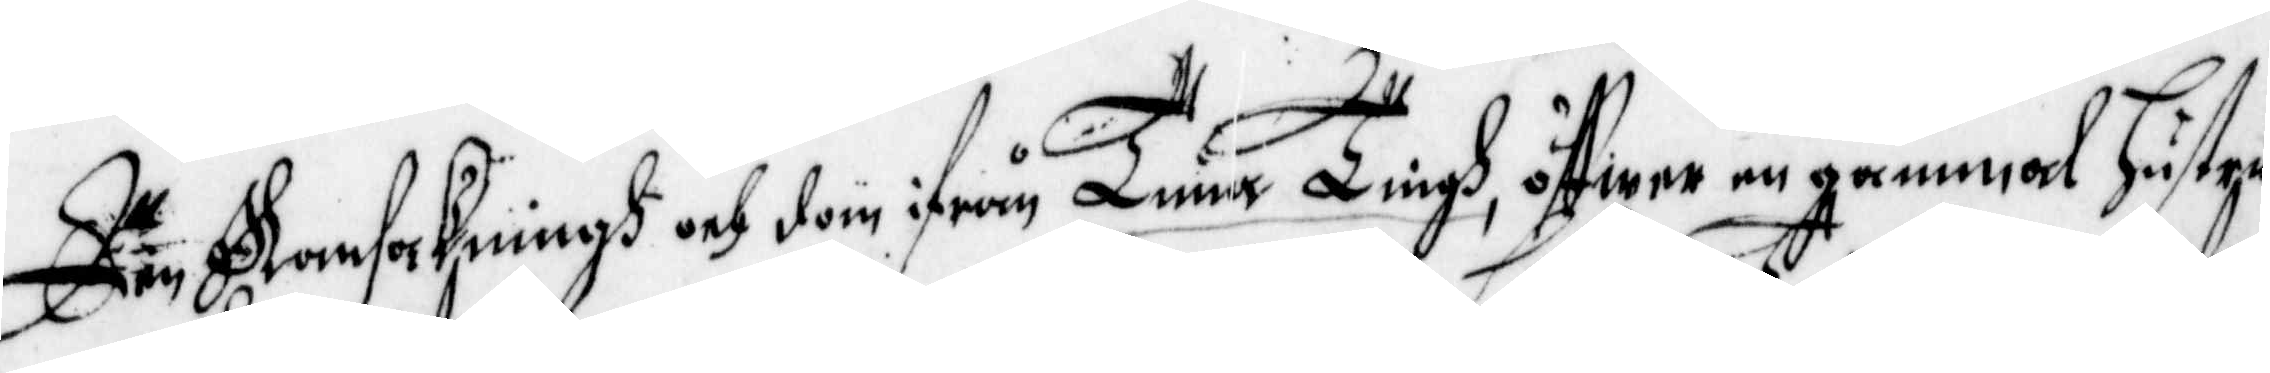Den Ransakningh och dom ifrån Tuna Tingh, öffwer en gammal hustru
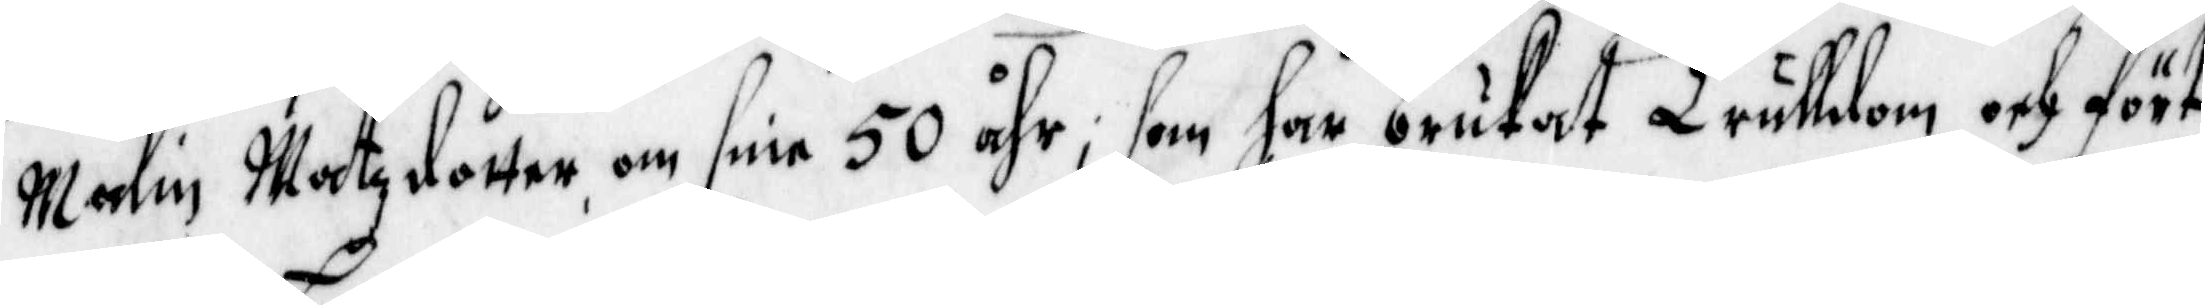Malin Matzdotter om sine 50 åhr, som har brukat Trulldom och fört
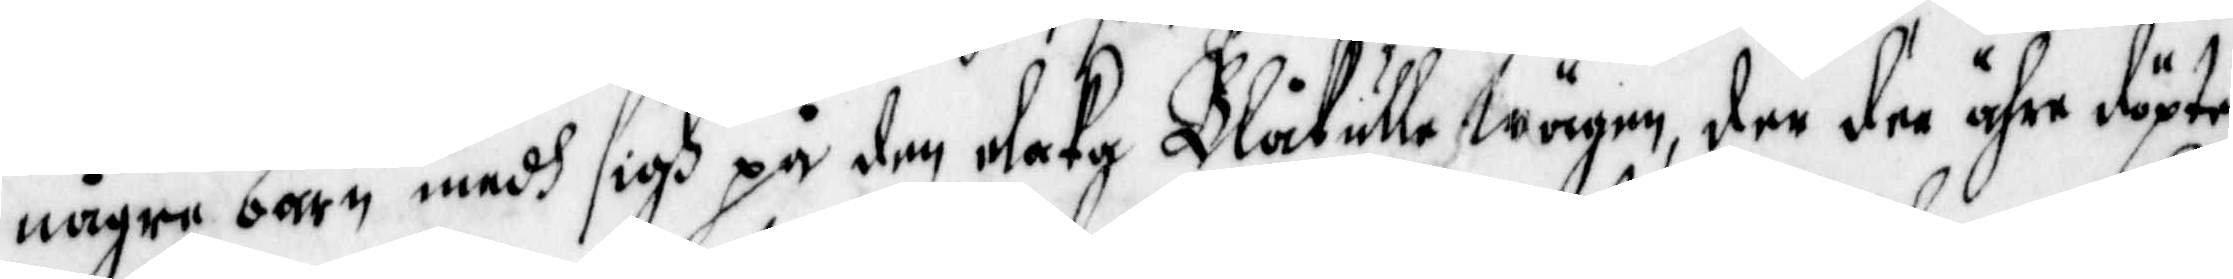någre barn medh sigh på den elaka Blåkulle Wägen, der dee ähre döpte
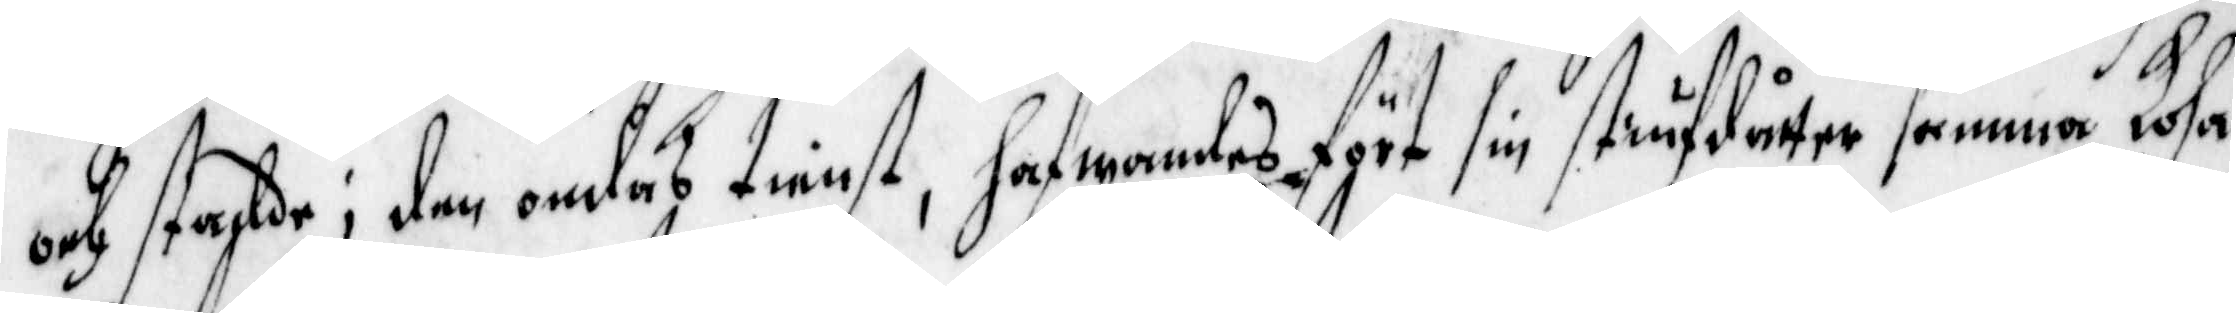och stadde i den ondas tienst, hafwandes fört sin stiufdåtter samma Losa
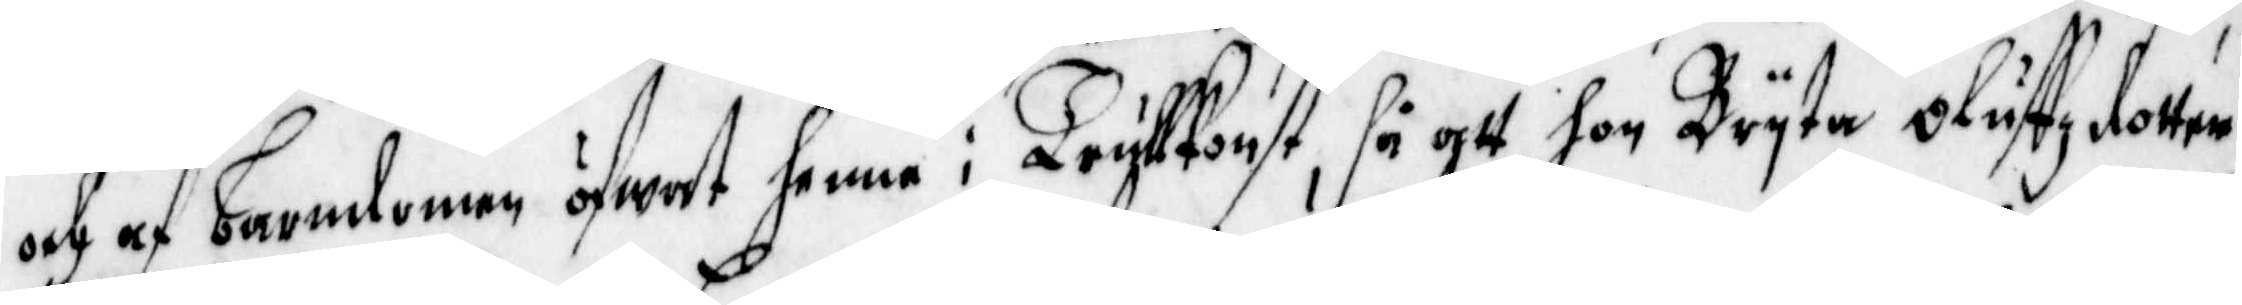och af barndomen öfwat henne i Trullkonst, så att hon Bryta Oluffzdotter
